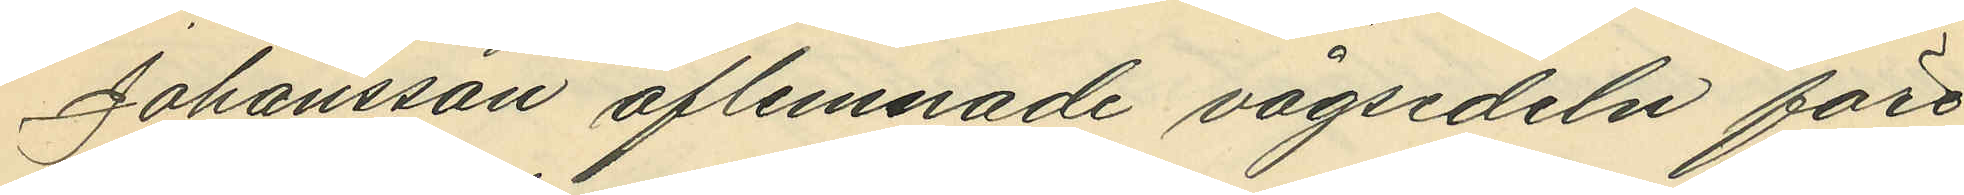Johansson aflemnade vågsedeln före¬
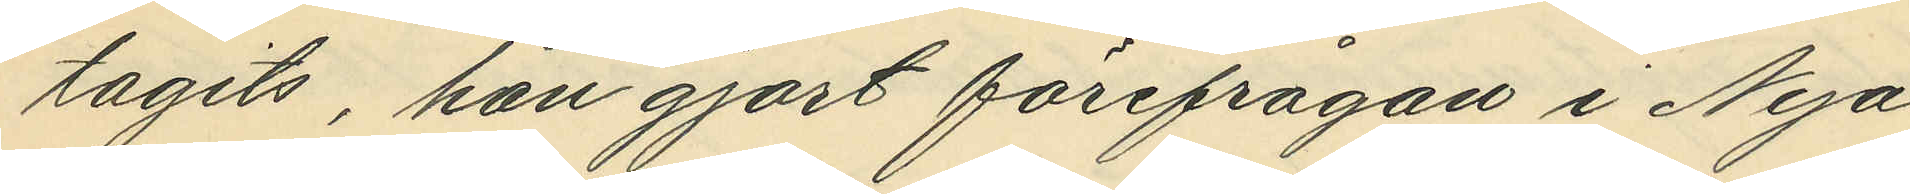tagits, han gjort förefrågan i Nya
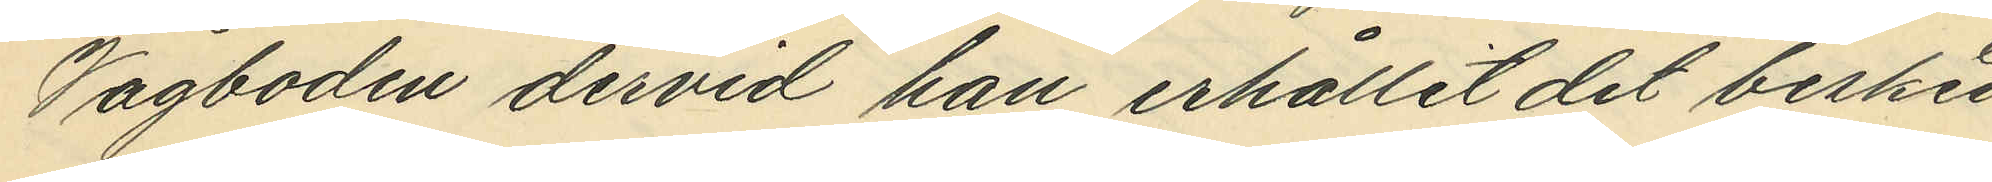Vågboden dervid han erhållit det besked
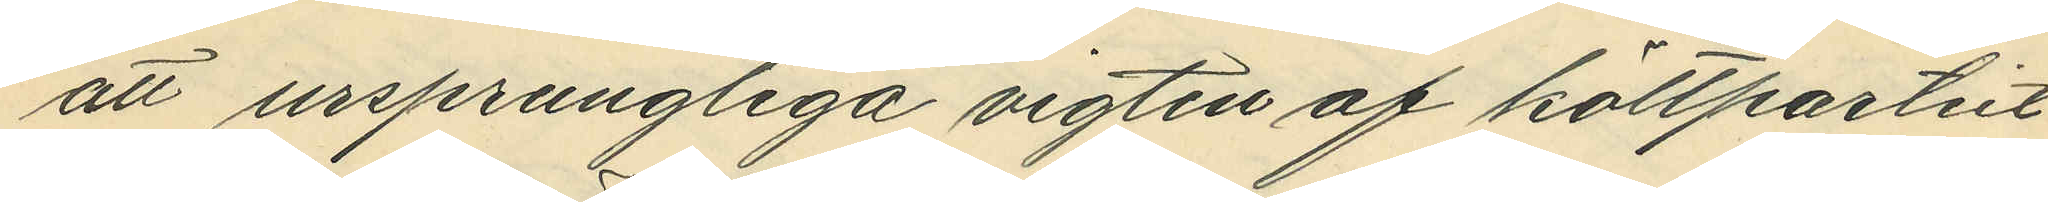att ursprungliga vigten af köttpartiet
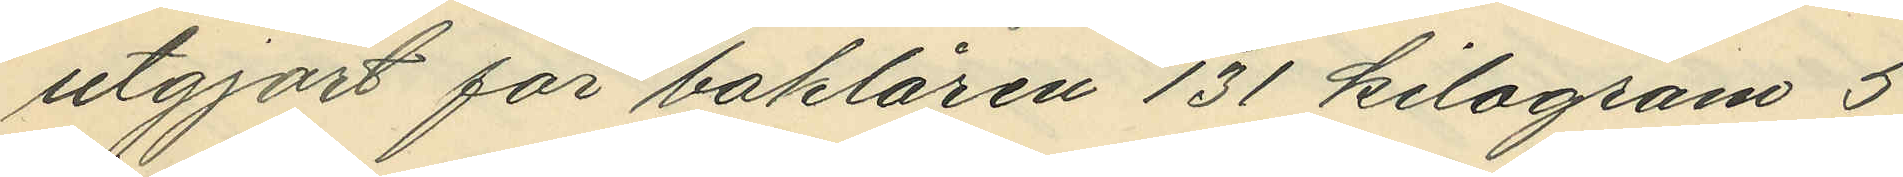utgjort för baklåren 131 kilogram 5
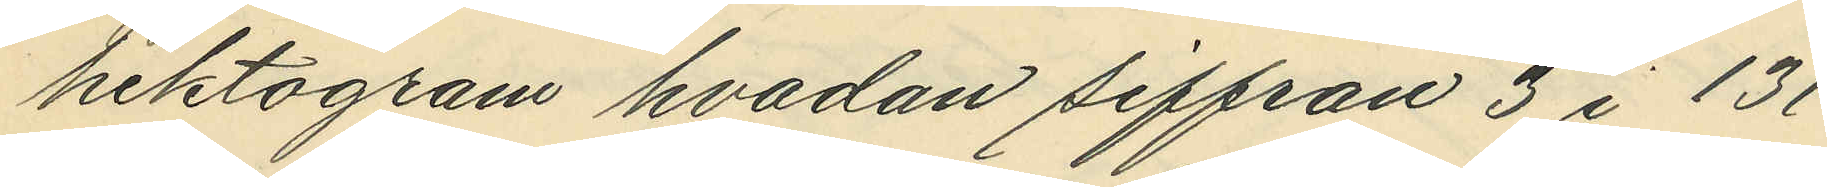hektogram hvadan siffran 3 i 131
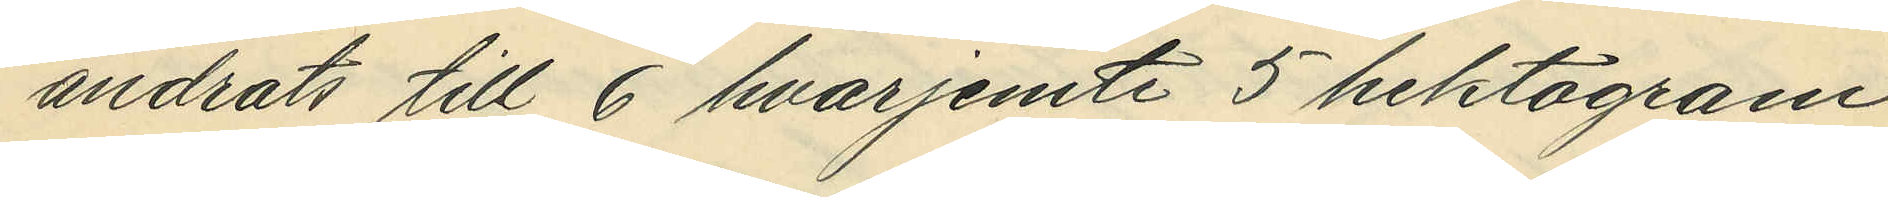ändrats till 6 hvarjemte 5 hektogram
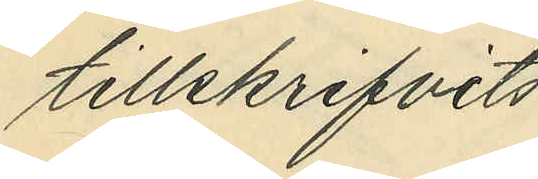tillskrifvits
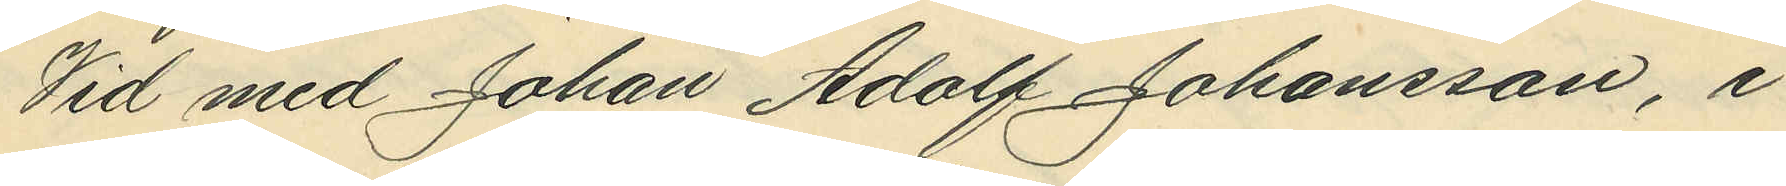Vid med Johan Adolf Johansson, i
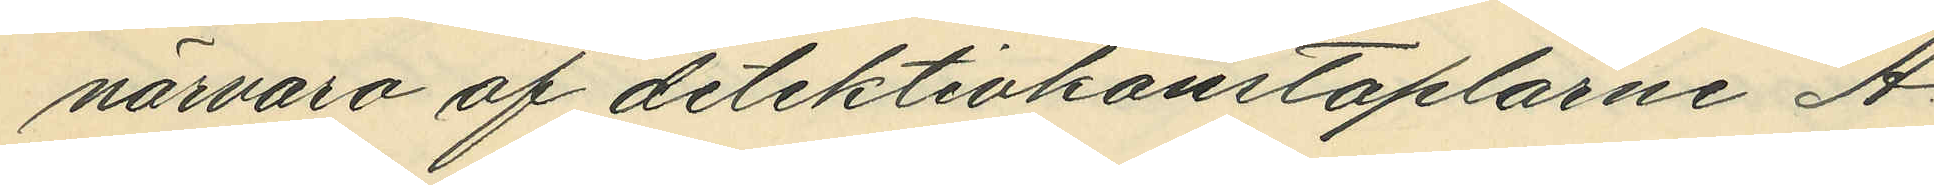närvaro af detektivkonstaplarne A
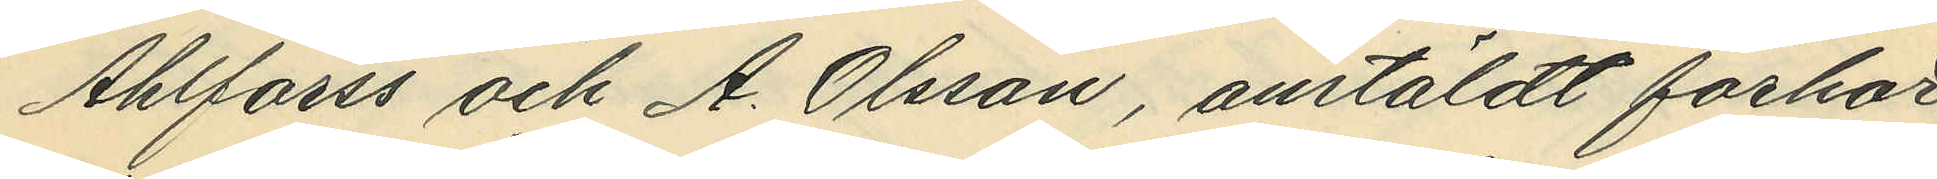Ahlforss och A. Olsson, antäldt förhör,
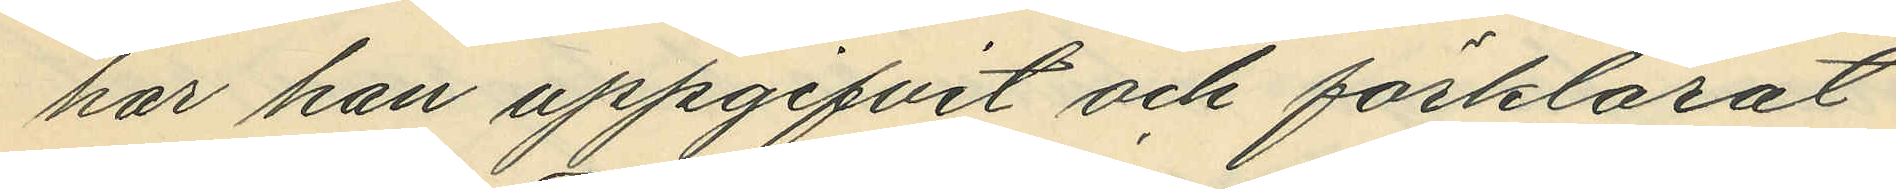har han uppgifvit och förklarat
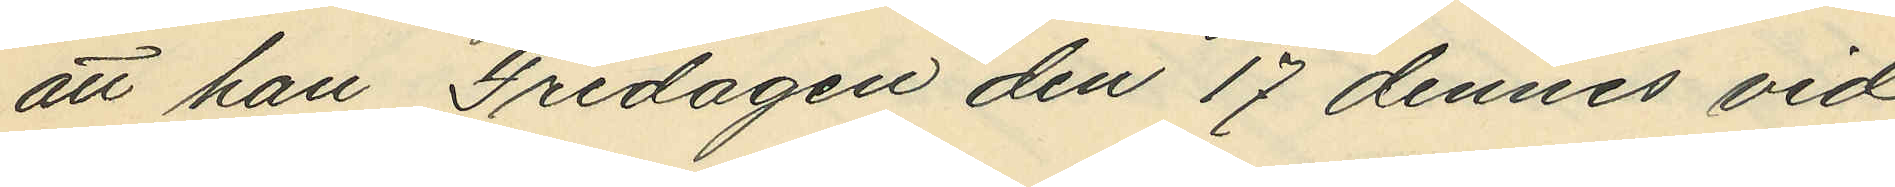att han Fredagen den 17 dennes vid
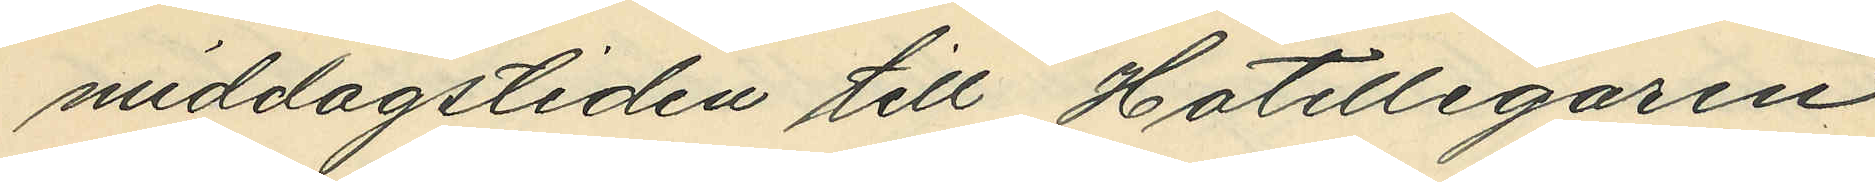middagstiden till Hotellegaren
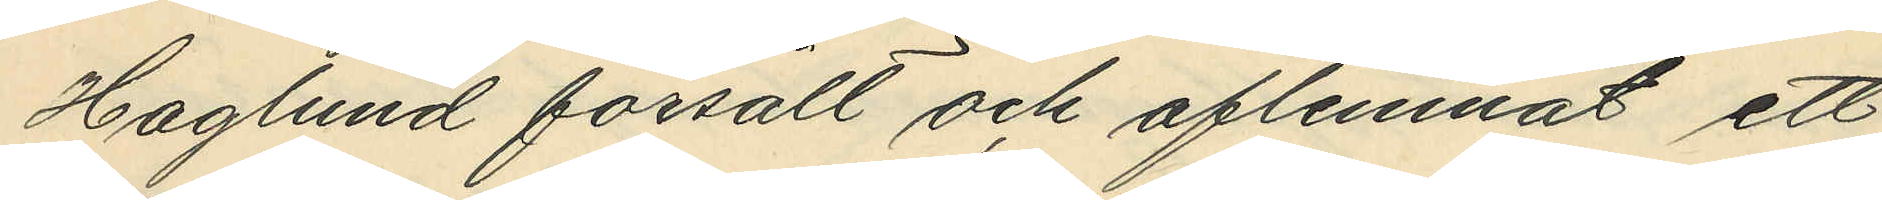Haglund försålt och aflemnat ett
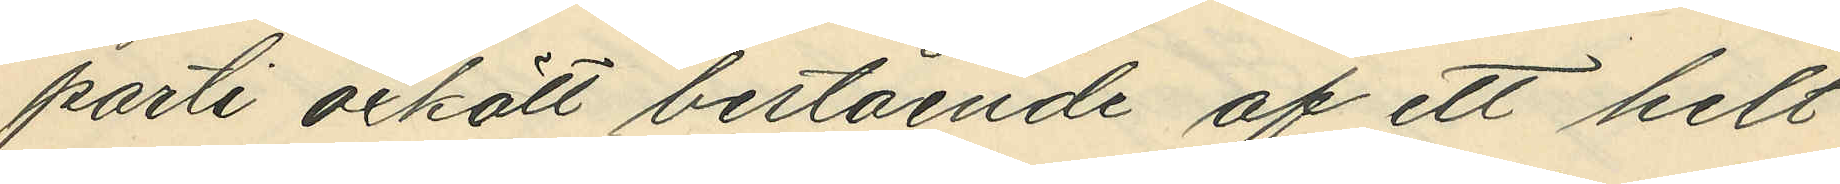parti oxkött bestående af ett helt
